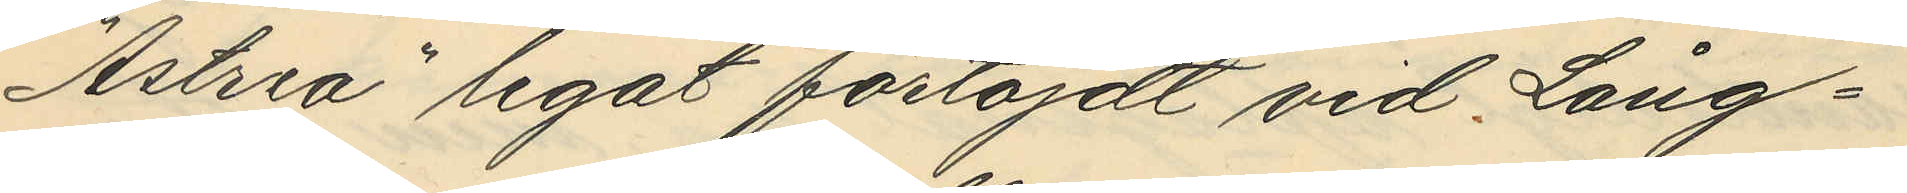"Astria" legat förtöjdt vid Lång¬
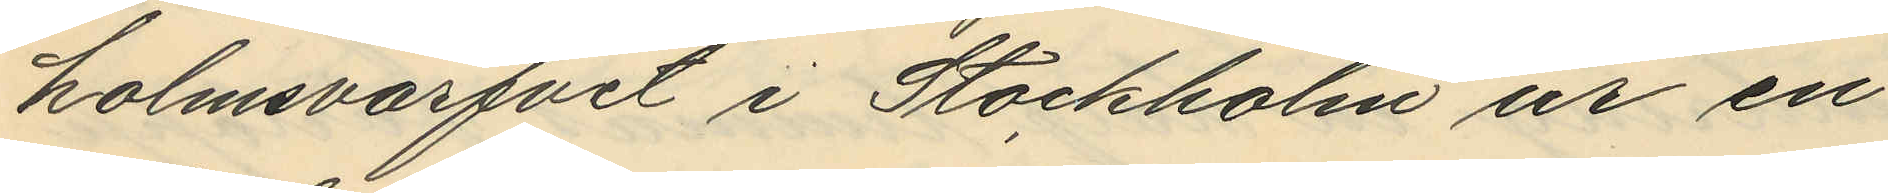holmsvarfvet i Stockholm ur en
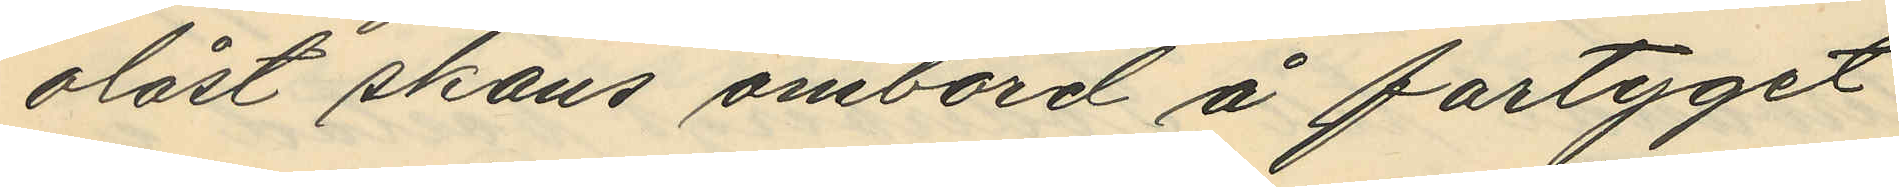olåst skans ombord å fartyget
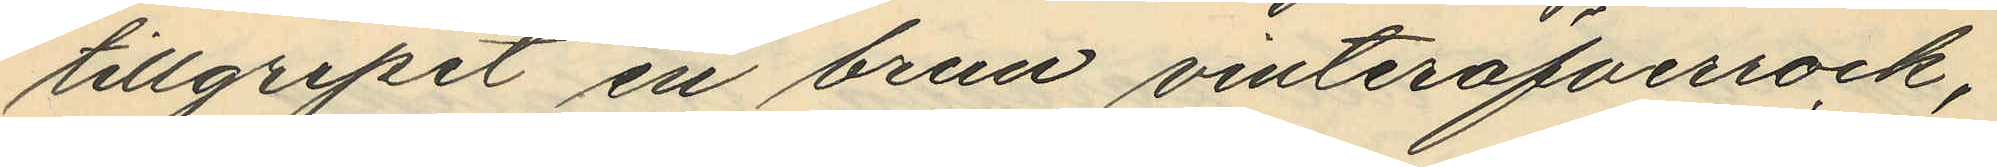tillgripit en brun vinteröfverrock,
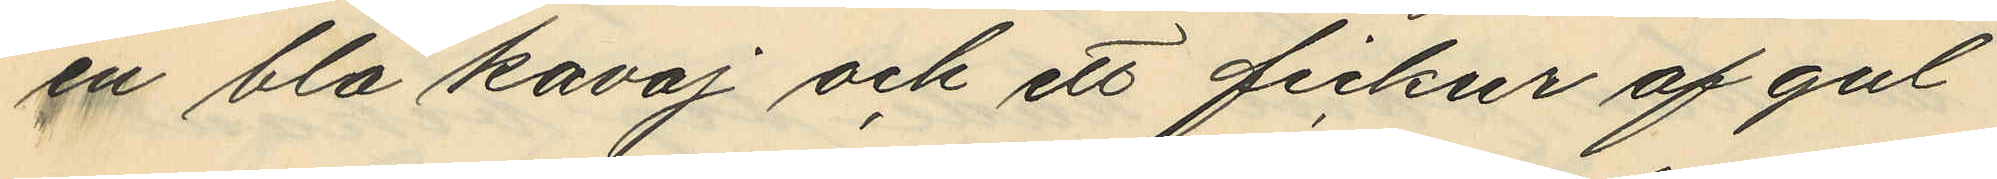en blå kavaj och ett fickur af gul¬
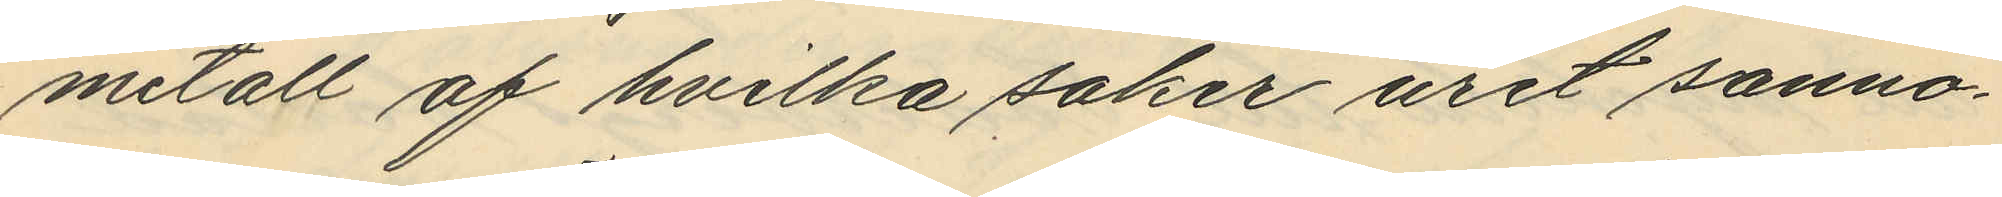metall af hvilka saker uret sanno¬
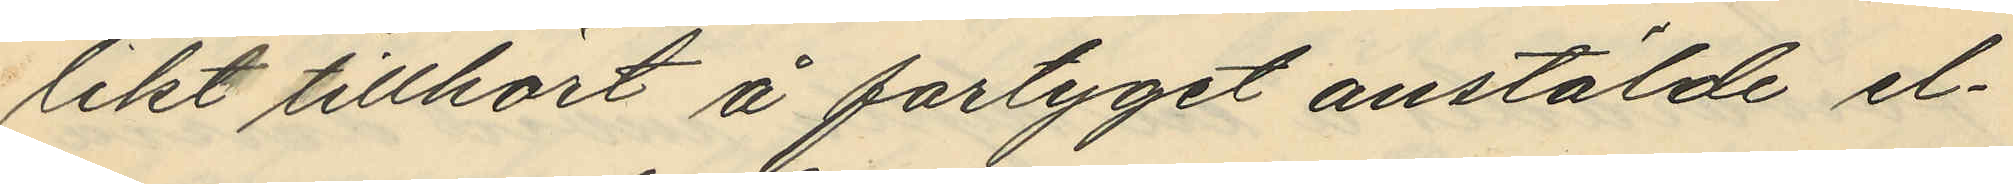likt tillhört å fartyget anstälde el¬
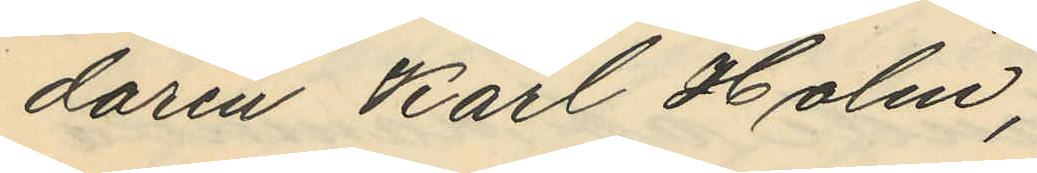daren Karl Holm,
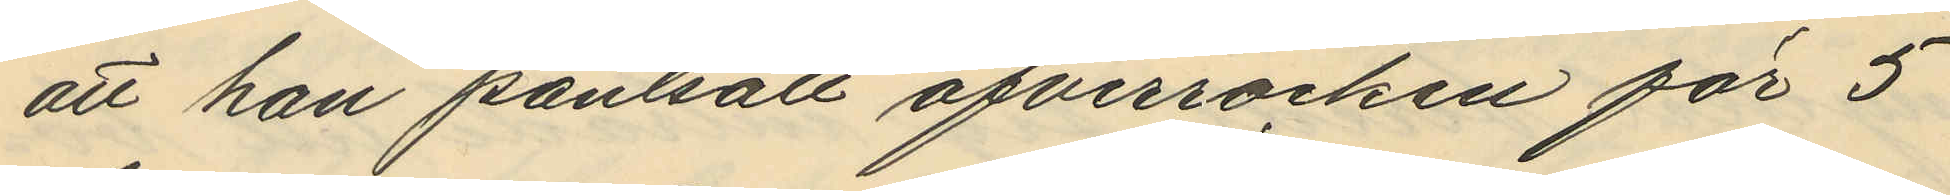att han pantsatt öfverrocken för 5
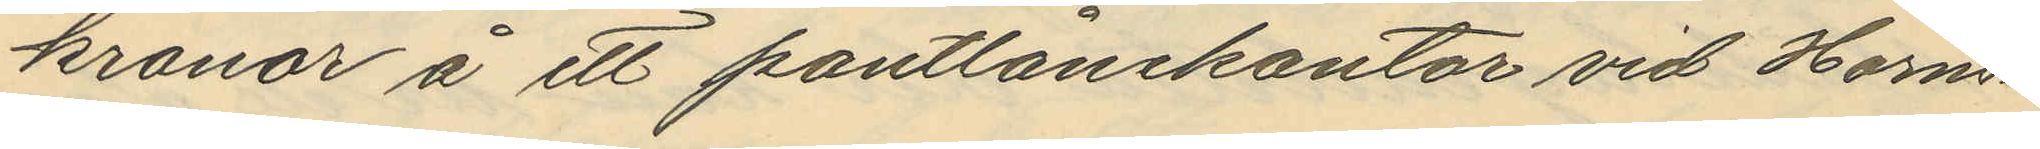kronor å ett pantlånekontor vid Horns¬
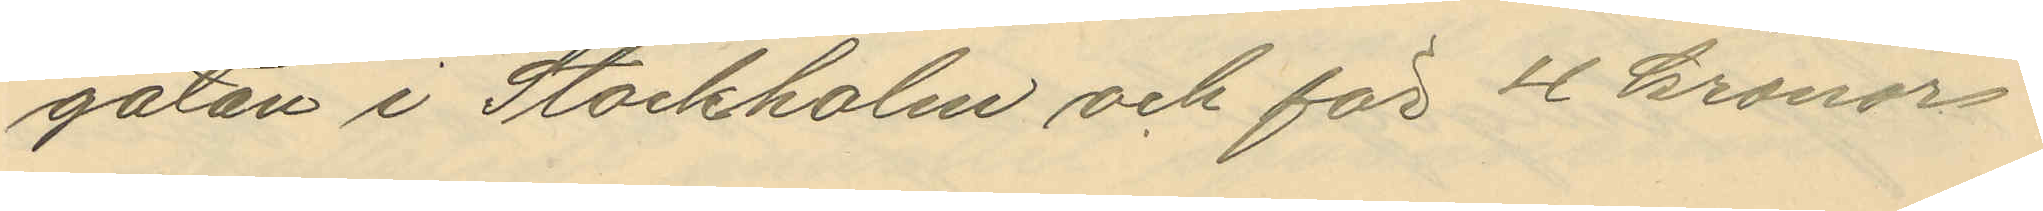gatan i Stockholm och för 2 kronor
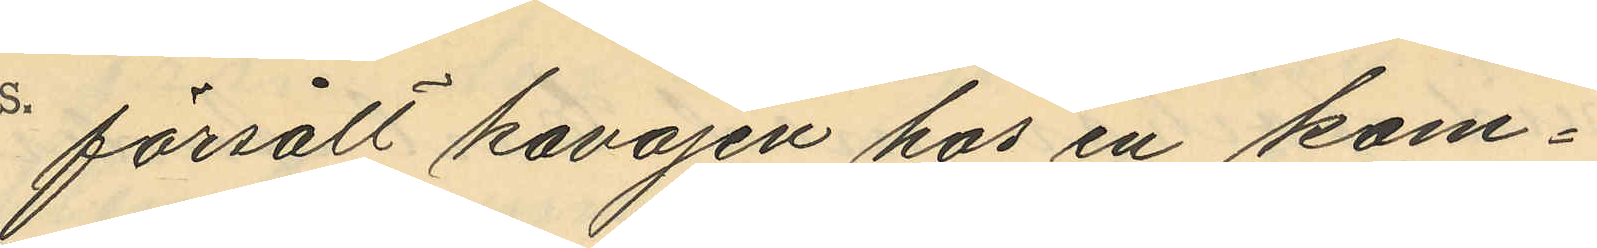försålt kavajen hos en kom¬
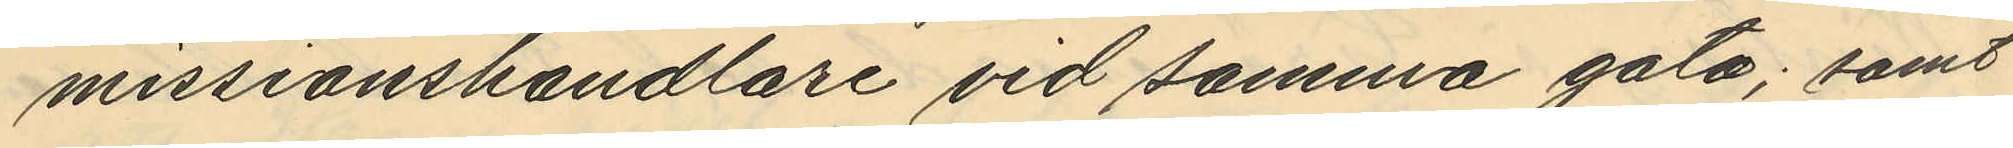missionshandlare vid samma gata; samt
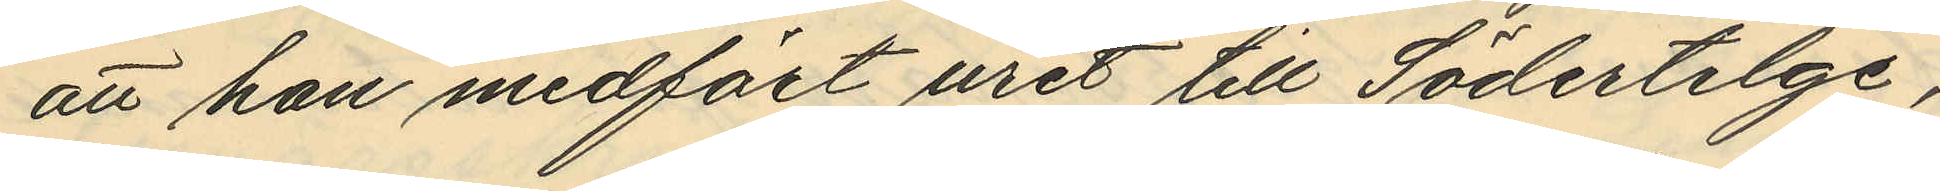att han medfört uret till Södertelge,
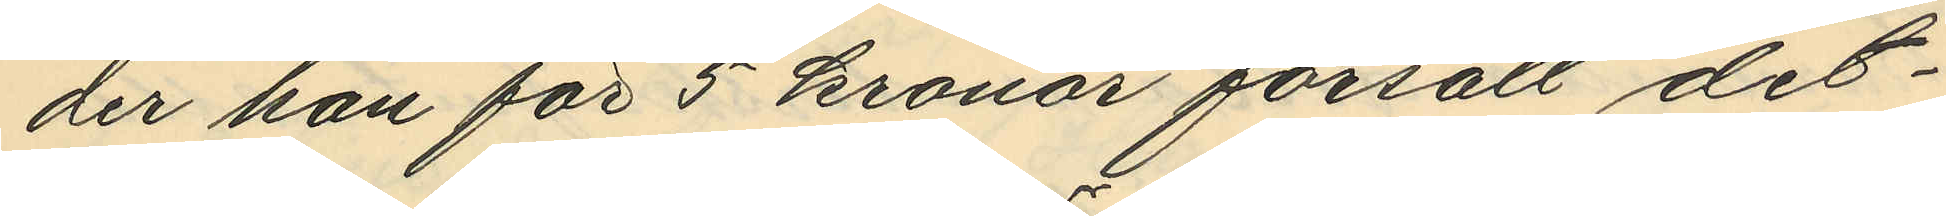der han för 5 kronor försålt det¬
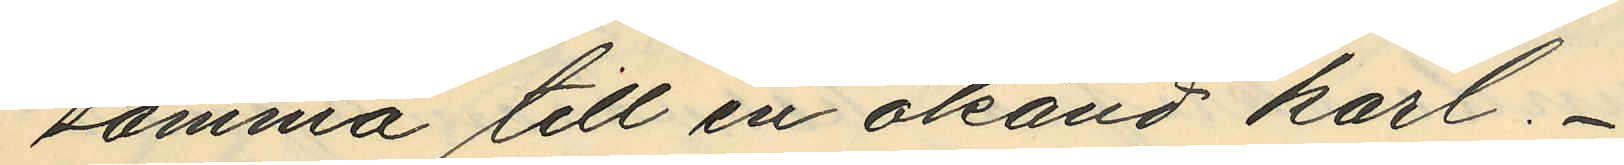samma till en okänd karl.
